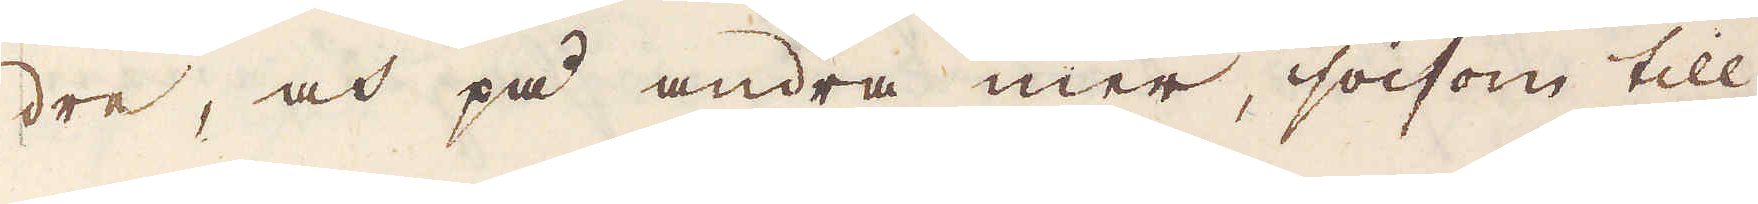dre, och på andra mer, såsom till
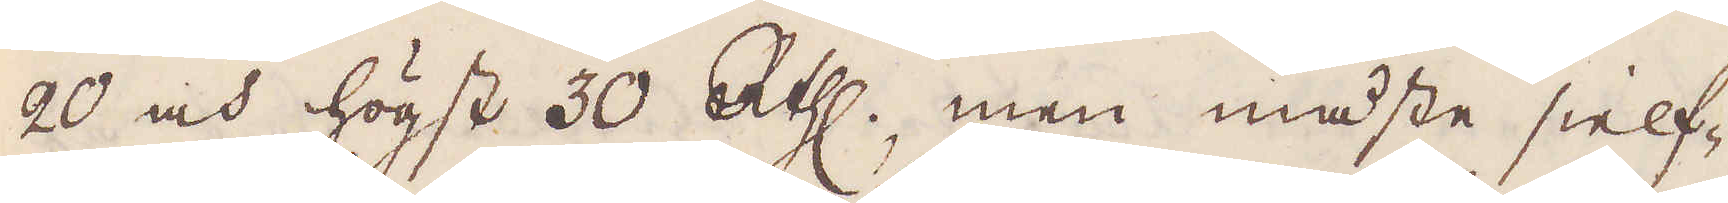20 och högst 30 R:thlr, men måste sielf-
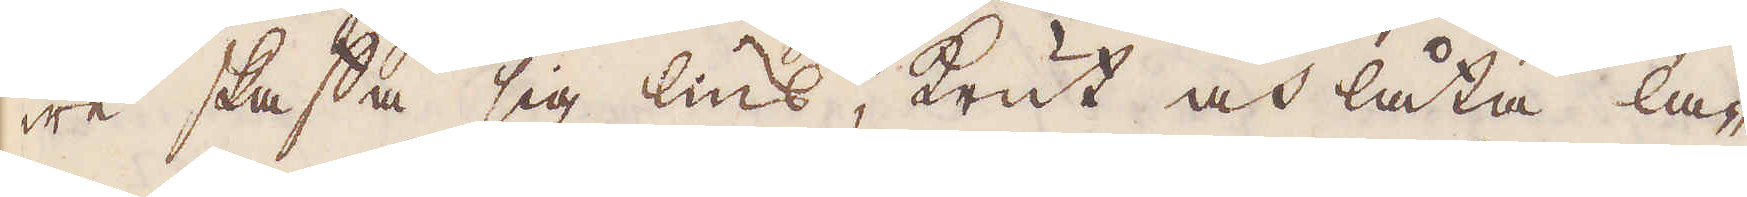wa skaffa sig lius, krut och låta la-
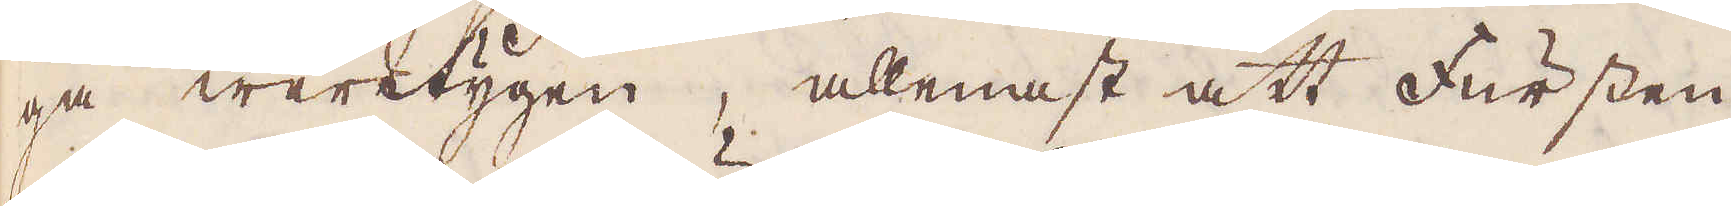ga werktygen, allenast att Fursten
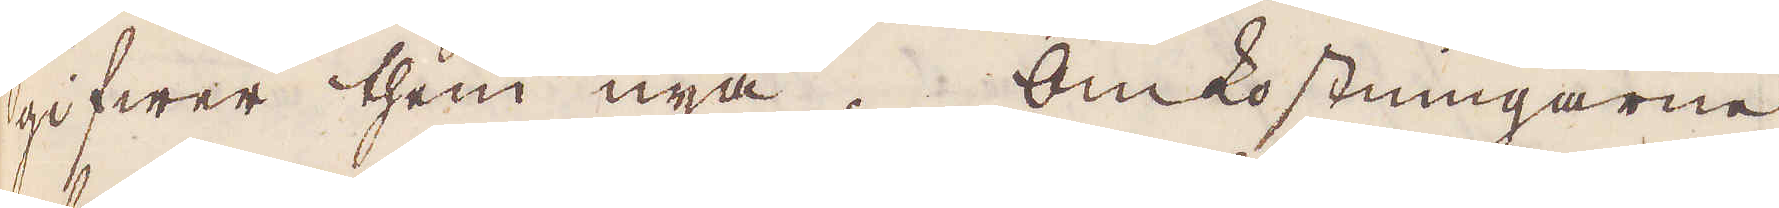gifwer them nya. Omkostningarne
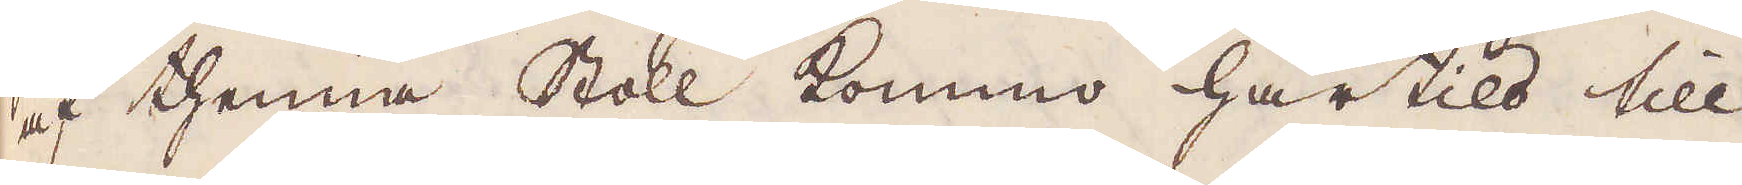af thenna Stoll kommo här tils till
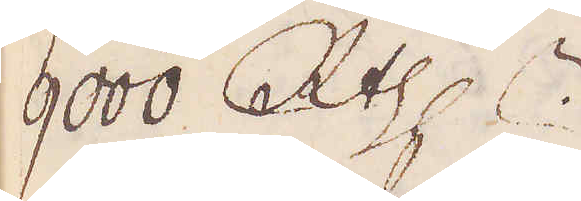9000 R:thlr.
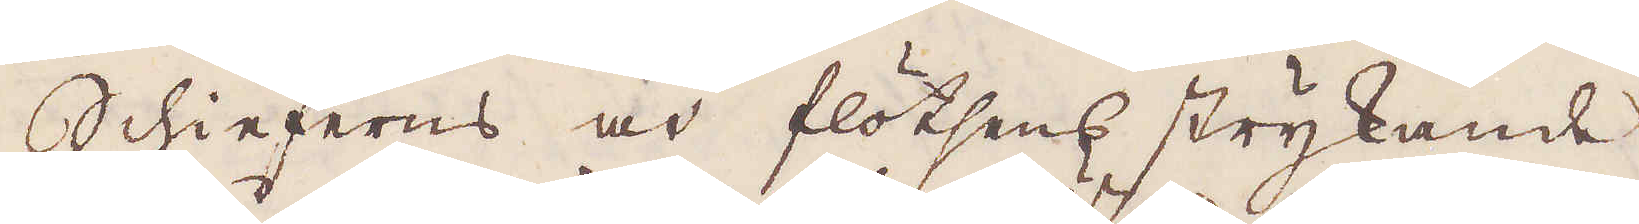Schieferns och flotsens strykande
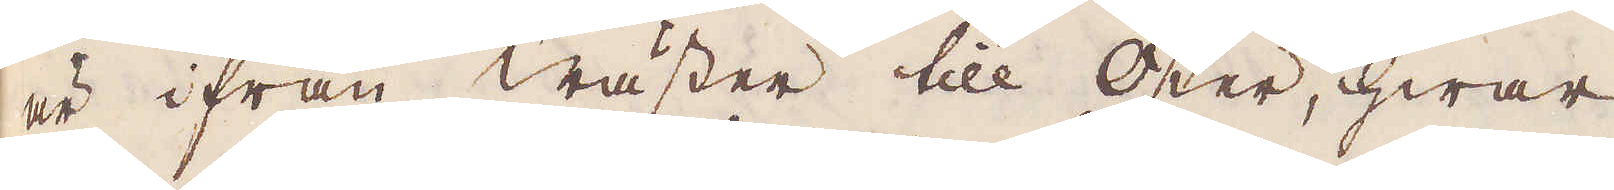är ifrån wäster till öster, hwar
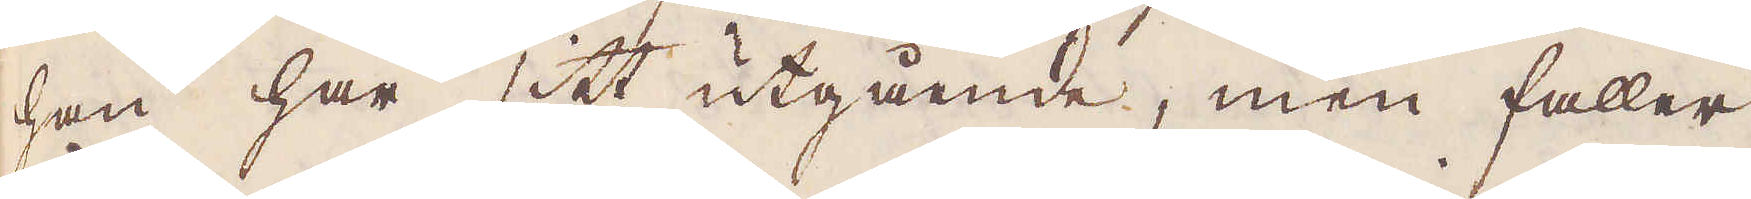han har sitt utgående, men faller
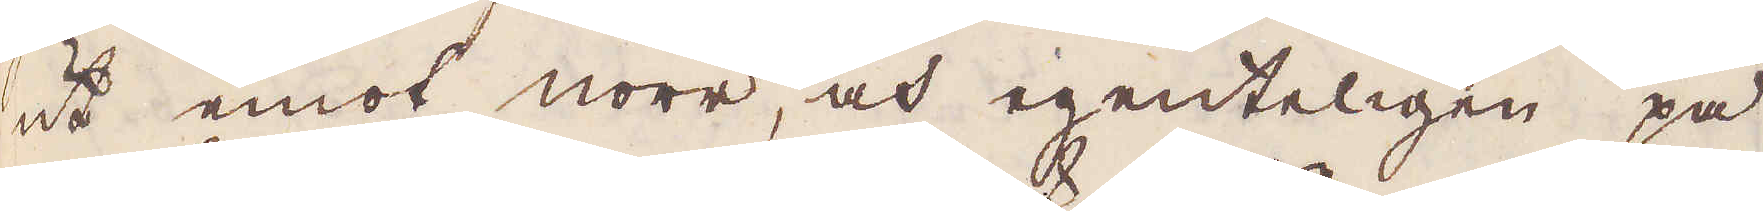ut emot norr, och egenteligen på
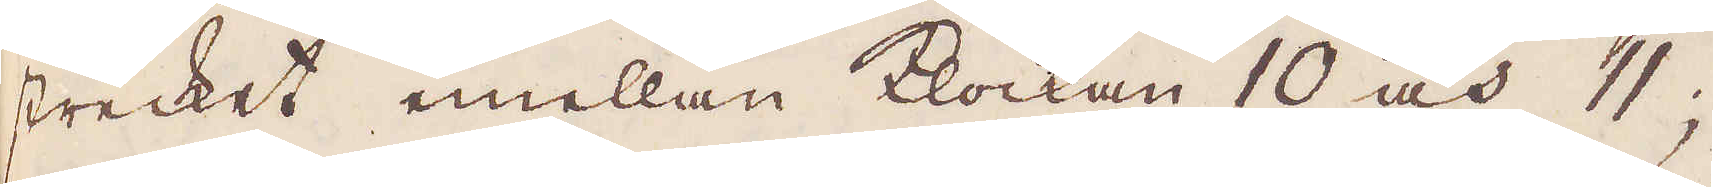strecket emellan klockan 10 och 11;
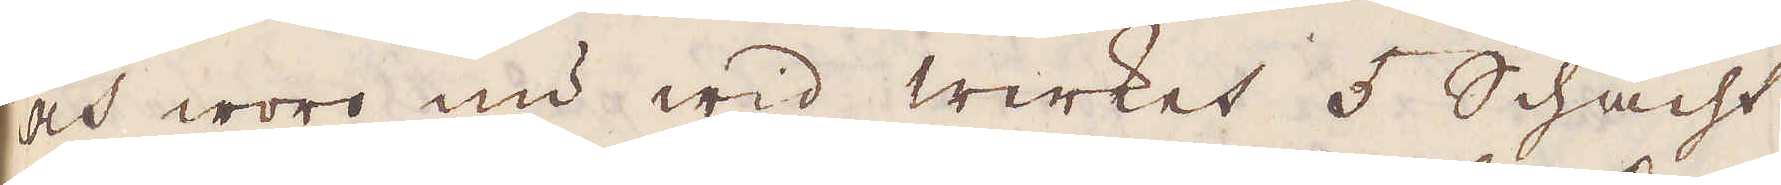och woro nu wid Werket 5 Schacht
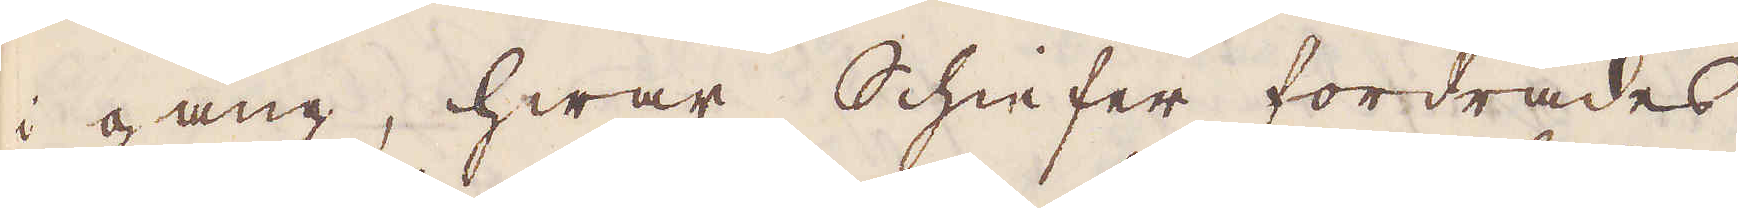i gång, hwar Schiefer fordrades,
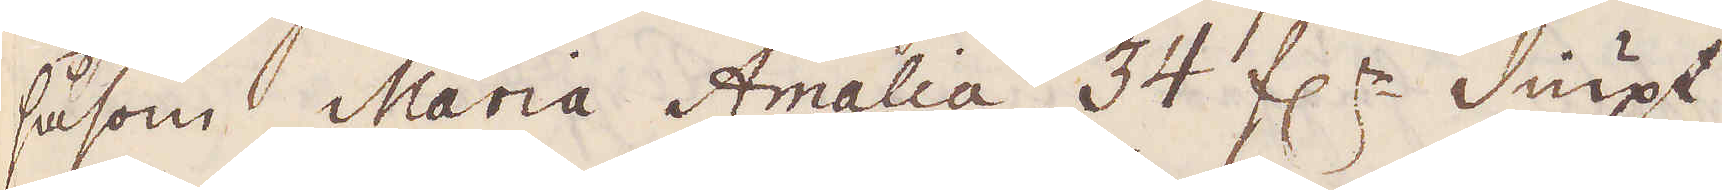såsom Maria Amalia 34 f:r diupt
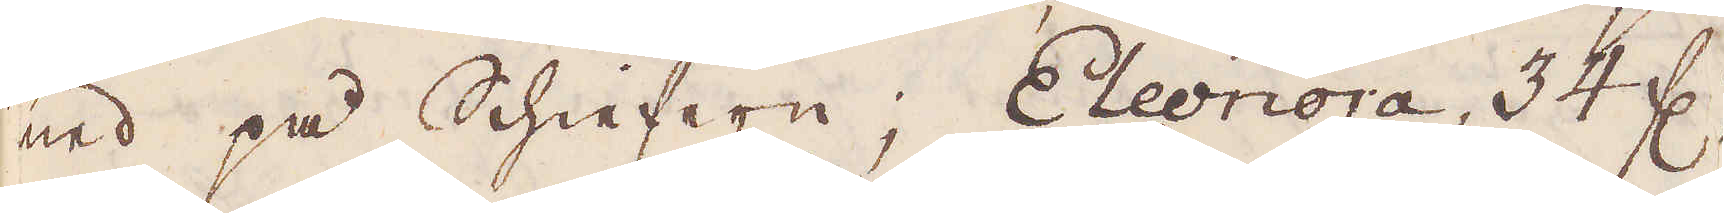ned på Schiefern; Eleonora, 34 f:r.
